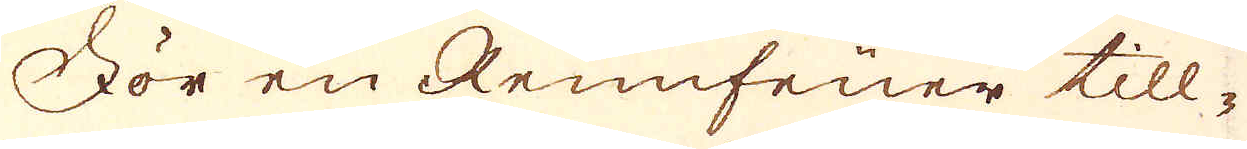För en Rennfeüer till-
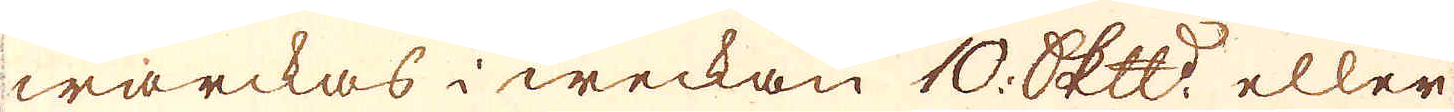wärckas i weckan 10 Skepppund eller
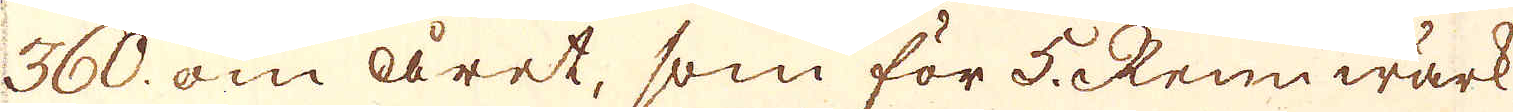360 om året, som för 5 Rennwärk
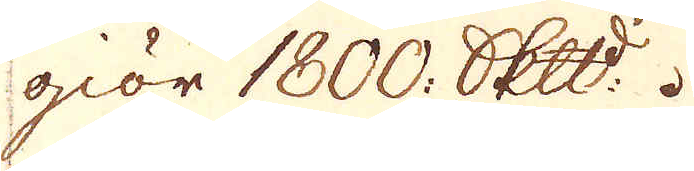giör 1800 Skepppund.
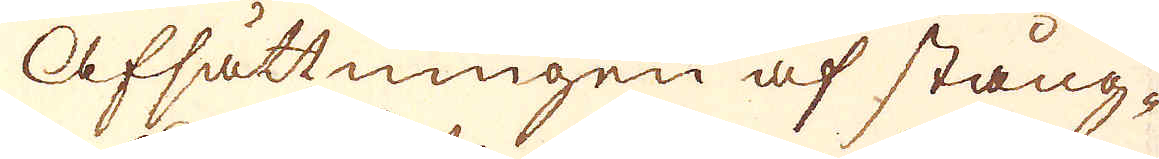Afsättningen af stång-
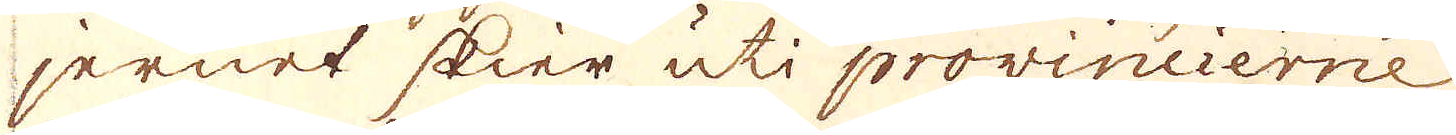jernet skier uti provincierne
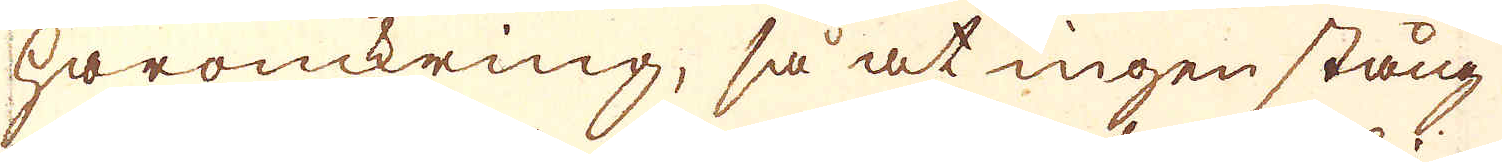häromkring, så at ingen stång
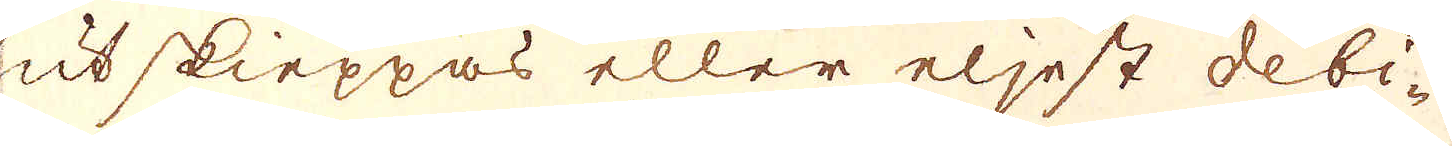utskieppas eller eljest debi-
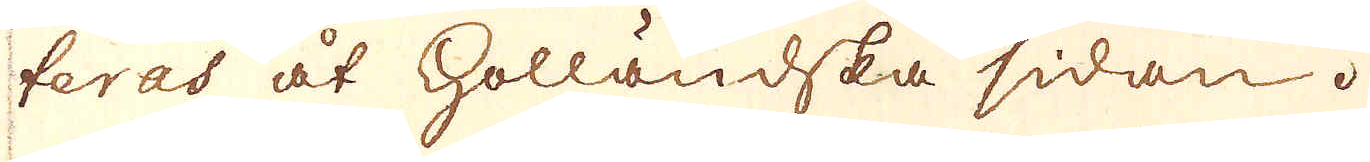teras åt holländska sidan.
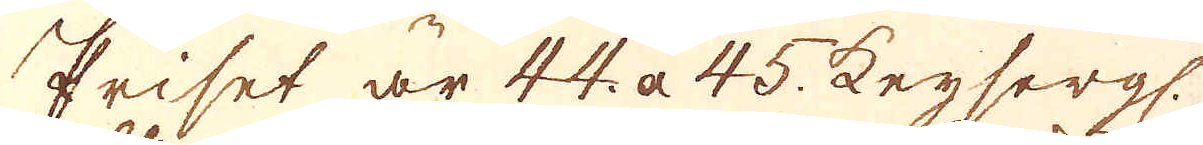Priset är 44 a 45 Keysergl.
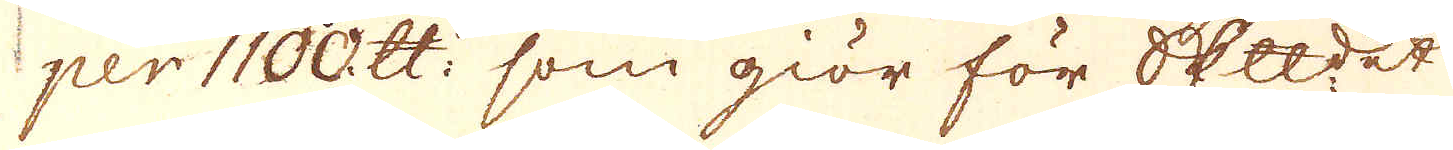per 1100 skålpund: som giör för Skepppundet
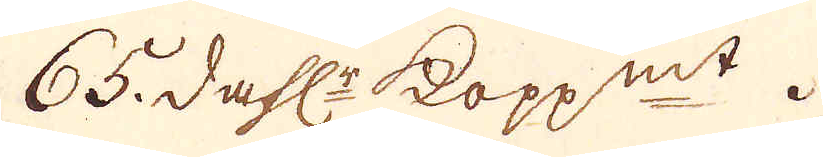65. dahlr kopp:mt.
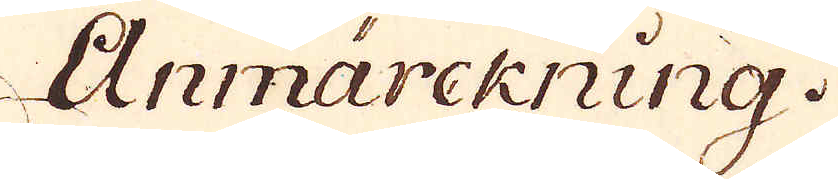Anmärckning.
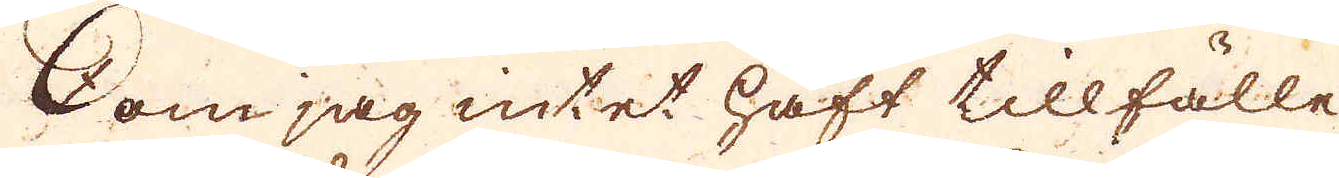Som jag intet haft tillfälle
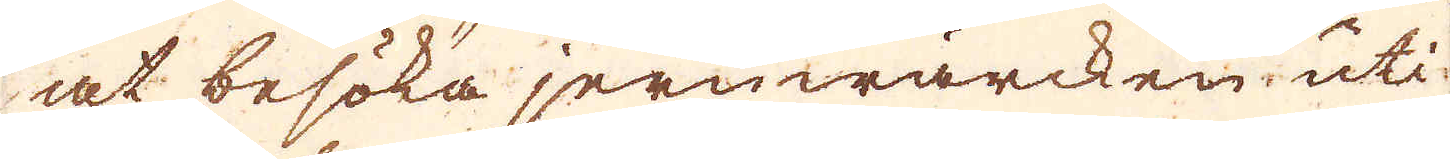at besöka jernwärcken uti
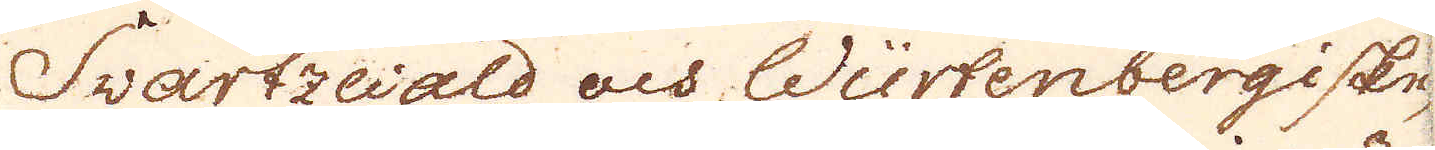Svartzewald och Würtenbergiske,
